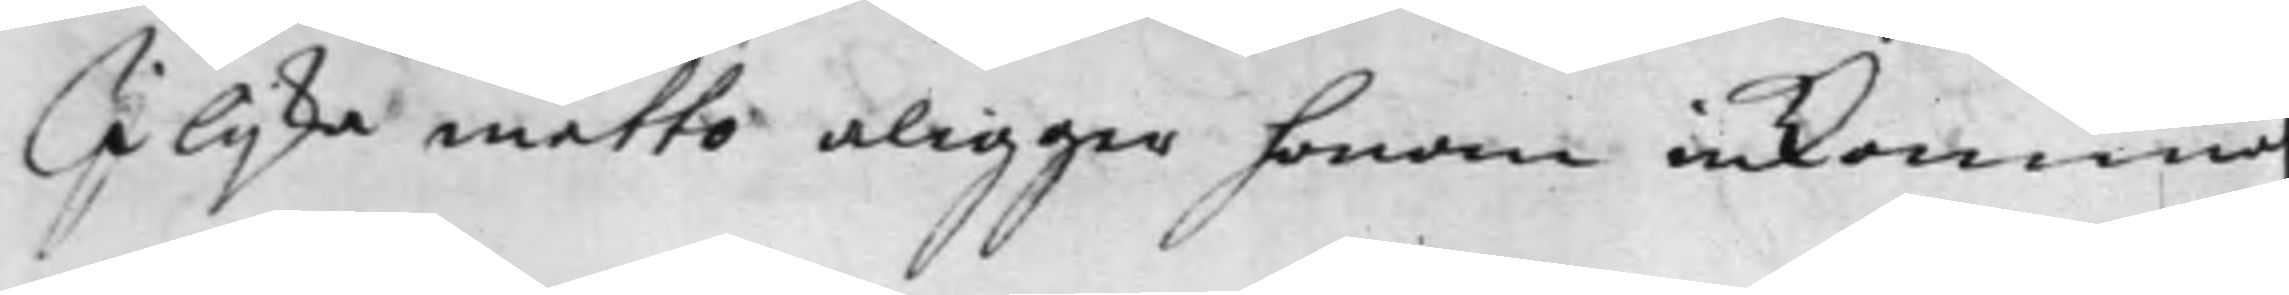I lijka måtto aligger honom inkomma
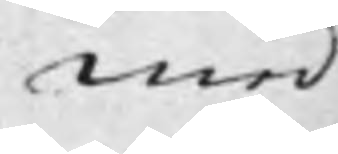med
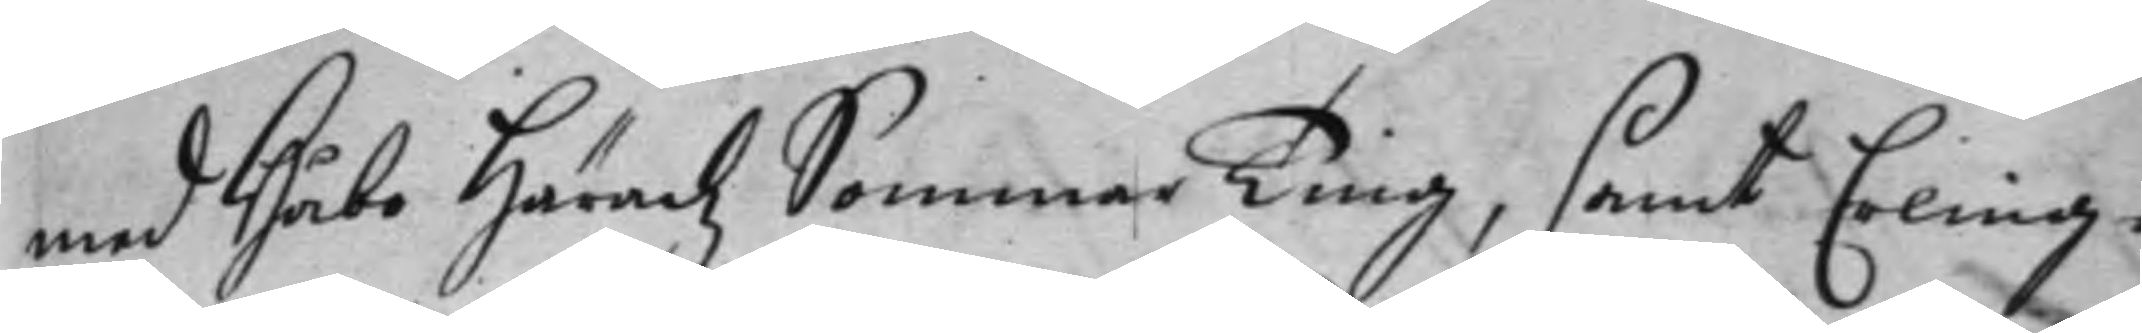med Håbo Häradz SommarTing, samt Erling¬
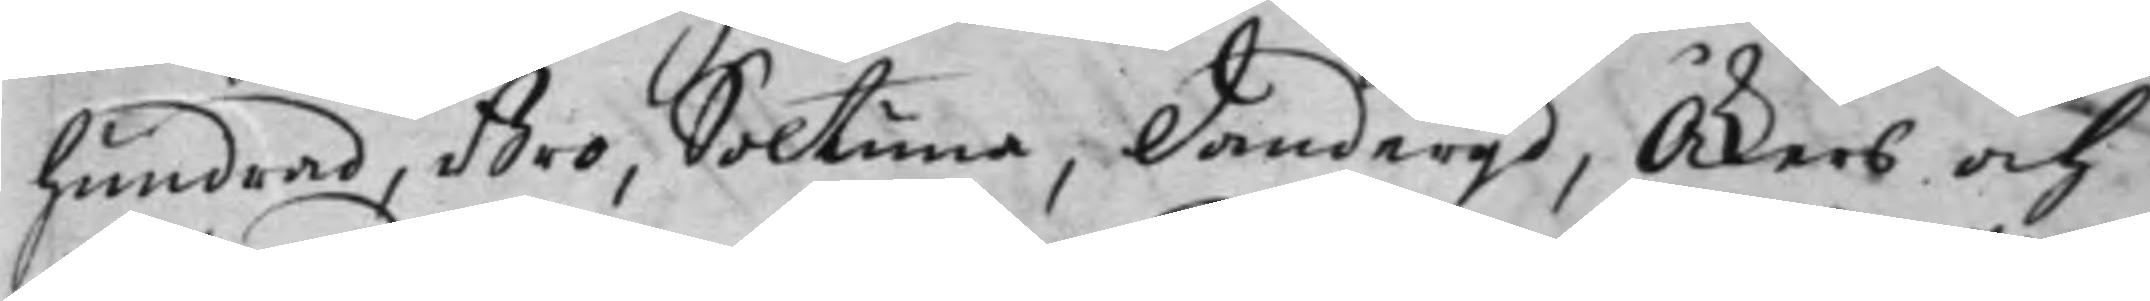hundrad, Bro, Soltuna, Danderyd, Åkers och
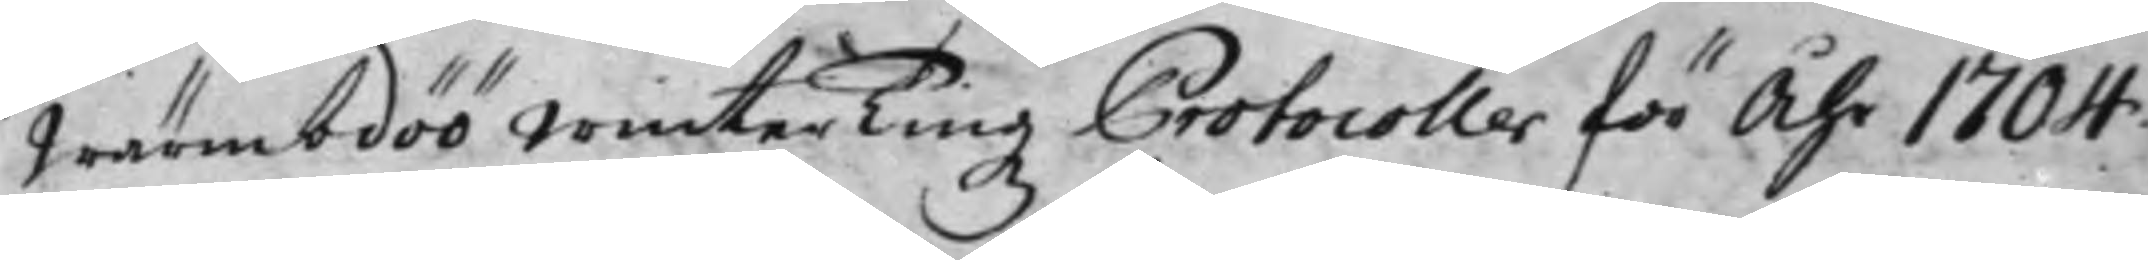Wärmdöö WinterTingz Protocoller för Åhr 1704.
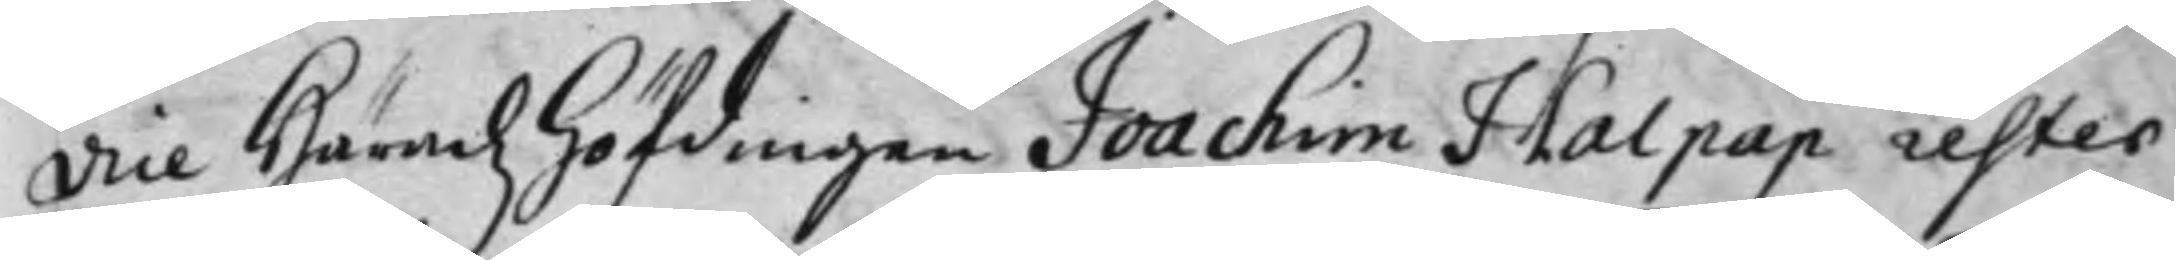Vice Häradzhöfdingen Joachim Halpap rester
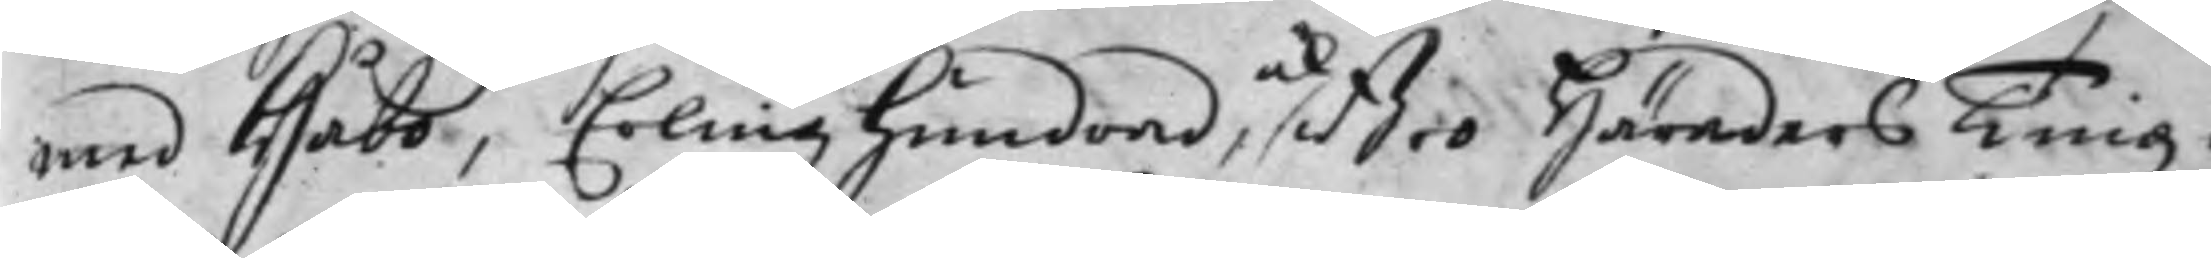med Håbo, Erlinghundrad, och Bro Häraders Tingz¬
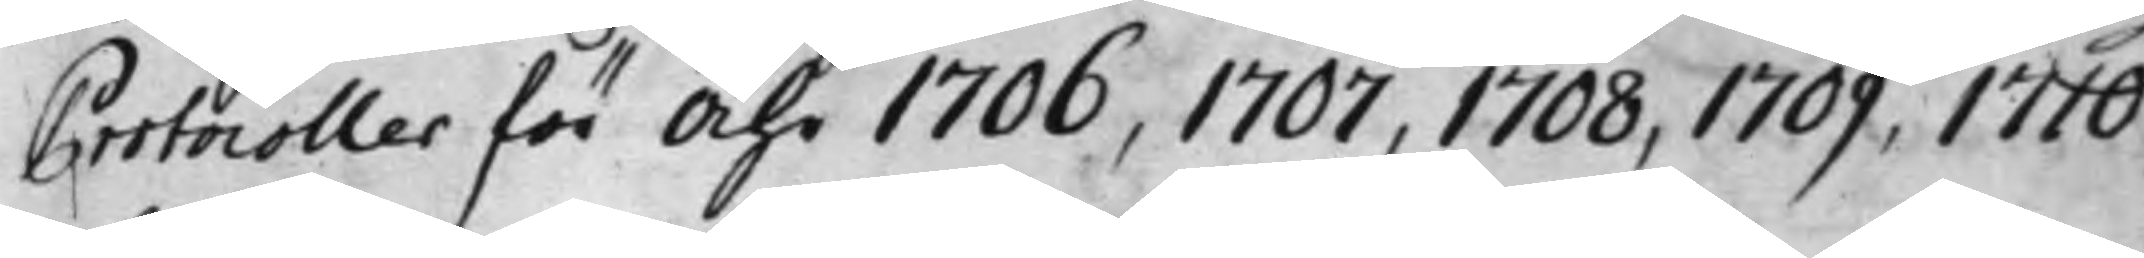Protocoller för Åhr 1706, 1707, 1708, 1709, 1710
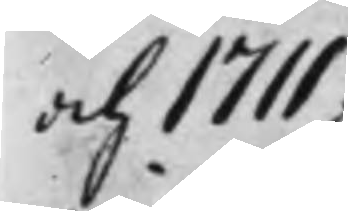och 1711.
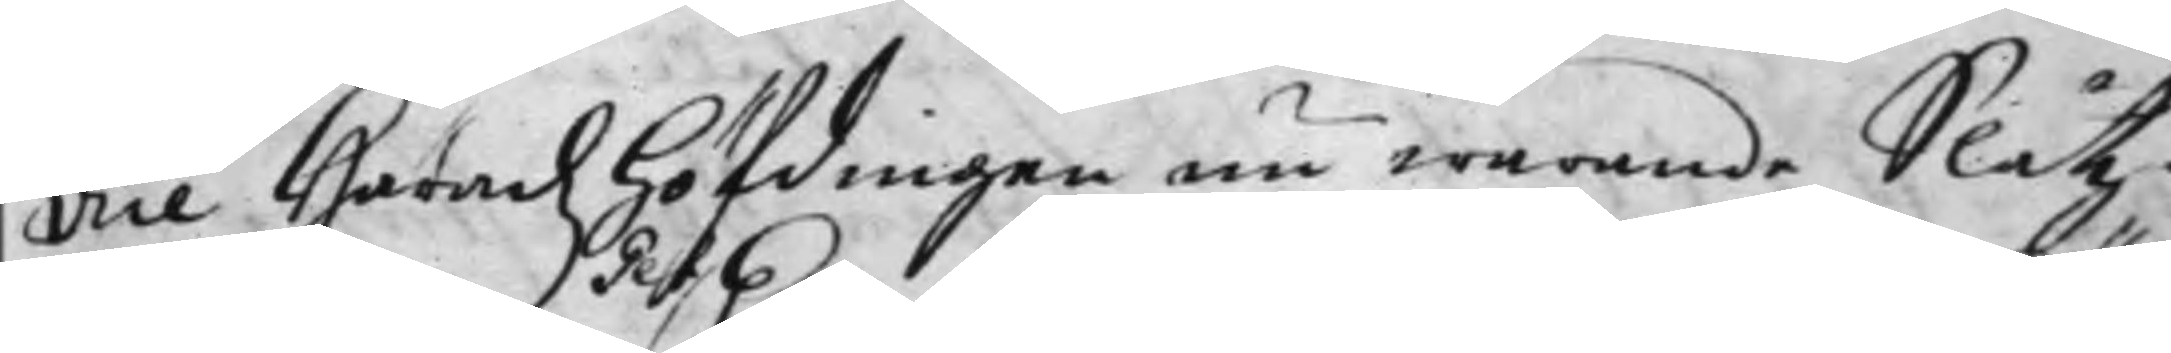Vice Häradzhöfdingen nu warande Slåttz¬
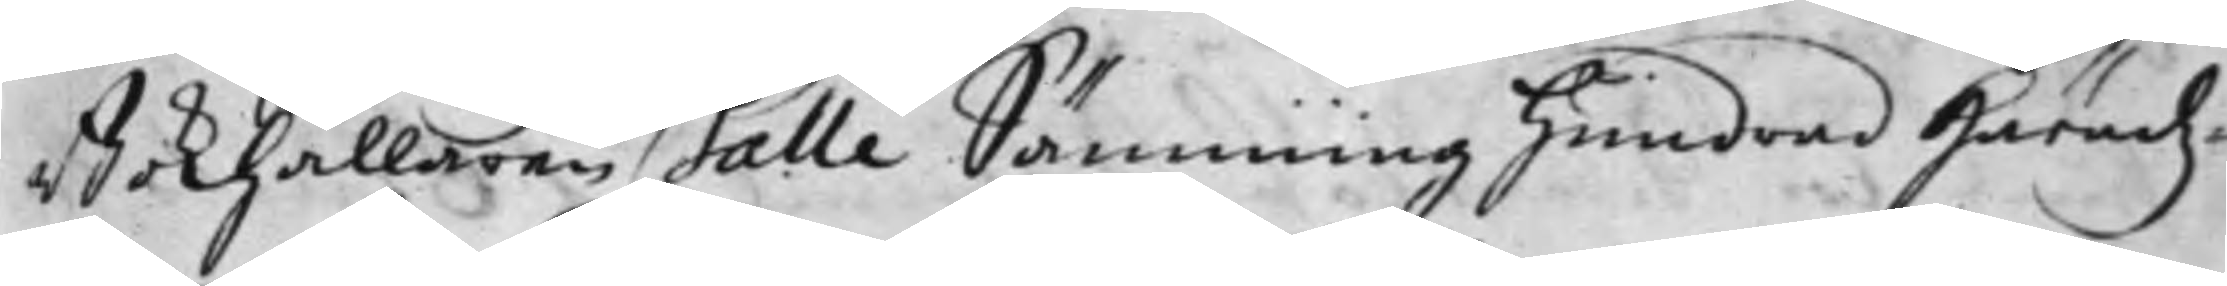Bokhållaren Gert Galle Sämminghundrad Häradz¬
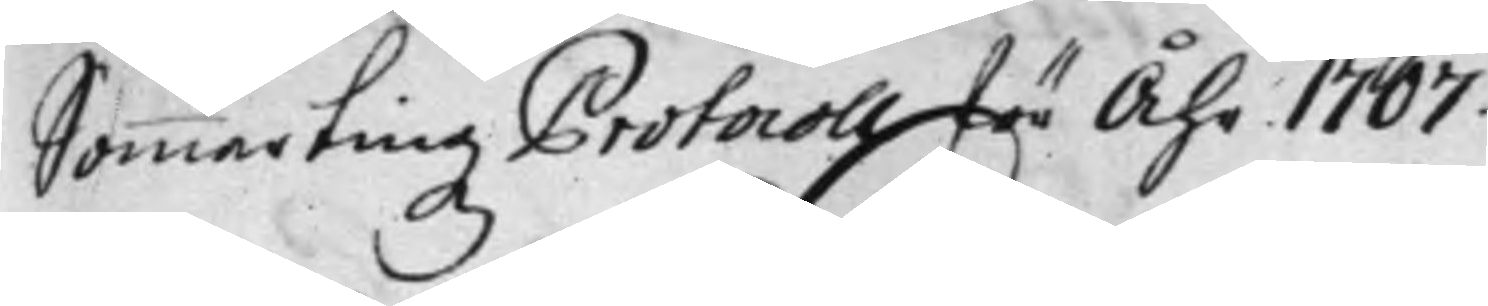Sommartingz Protocoll för Åhr 1707.
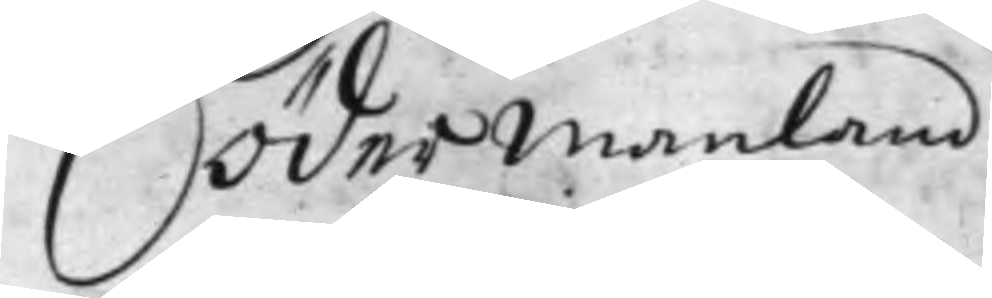Södermanland
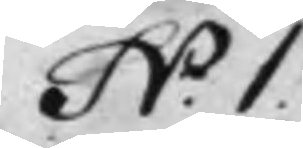N:o 1.
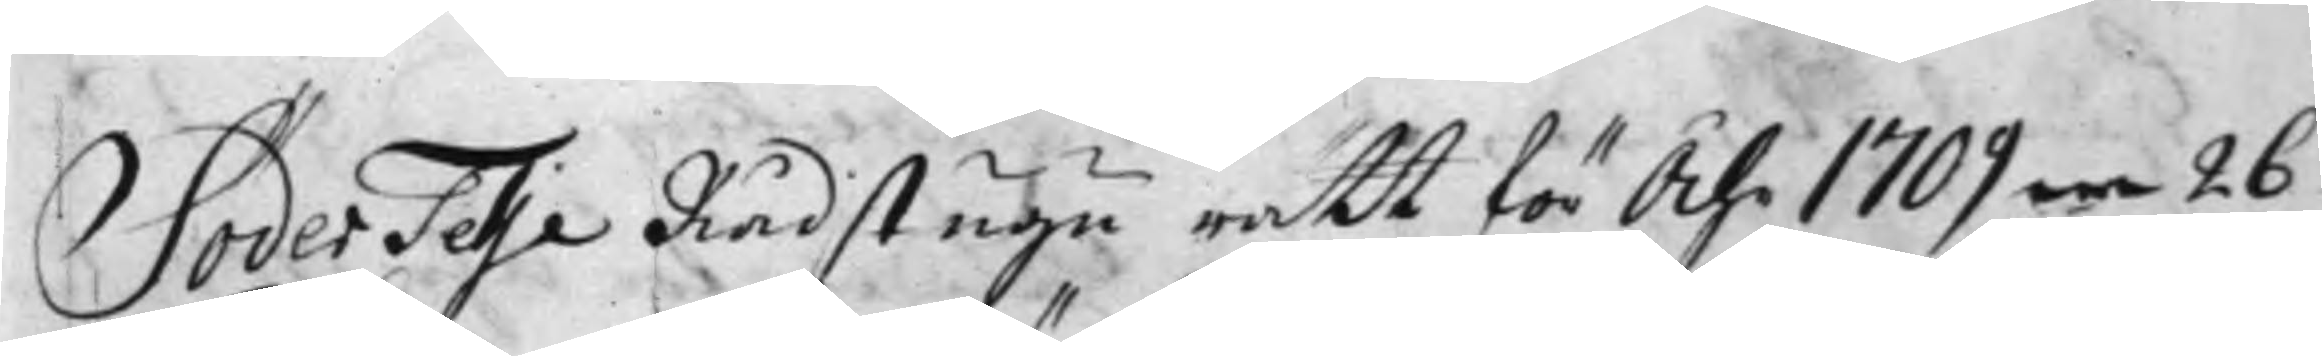SöderTelje Rådstugu rätt för Åhr 1709 26
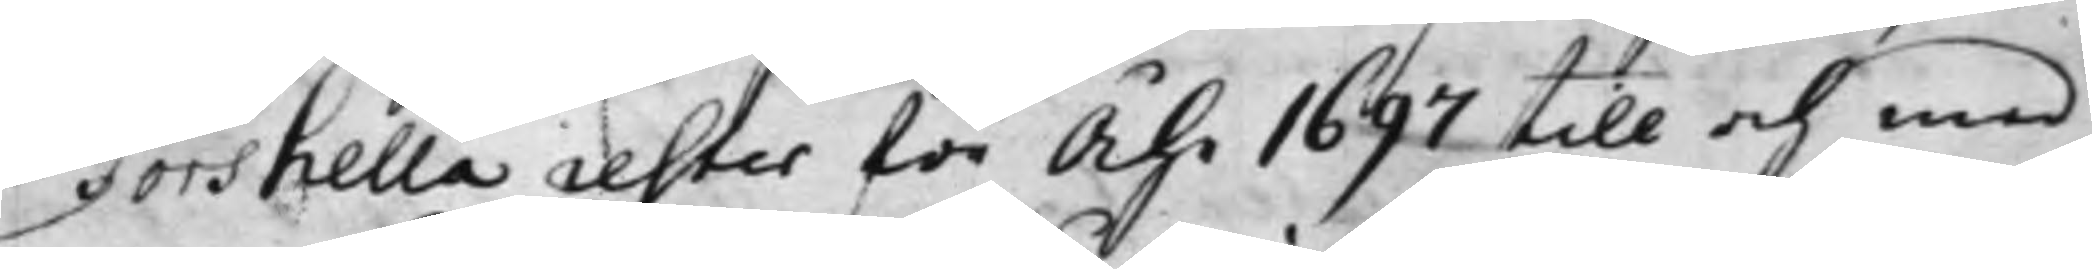Torshella rester för Åhr 1697 till och med
